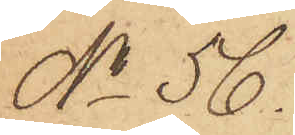No 56.
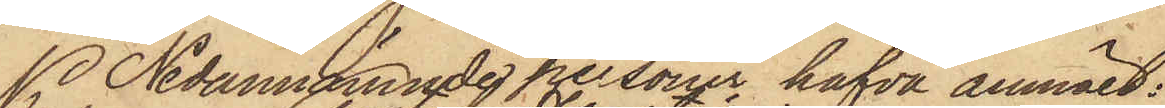Nedannämnde personer hafva anmält:
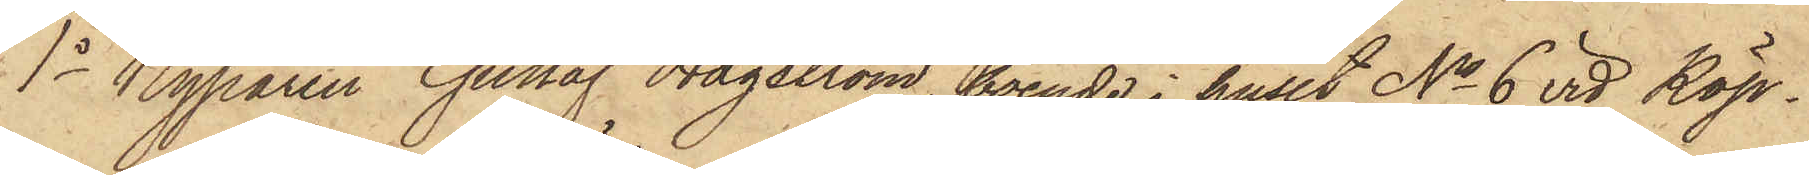1o Kyparen Gustaf Hagström, boende i huset No 6 vid Köp¬
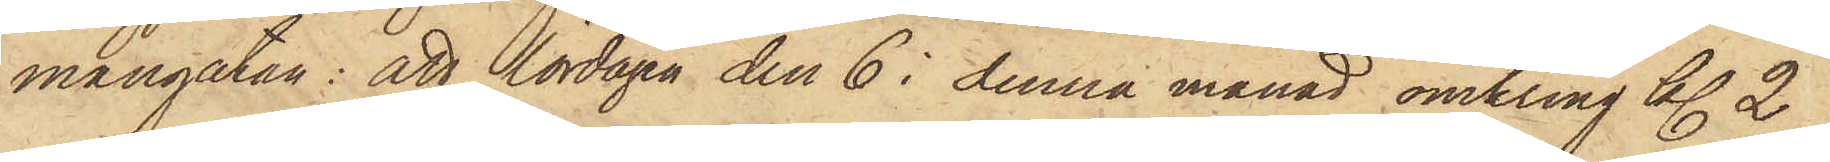mangatan: att lördagen den 6 i denna månad omkring kl. 2
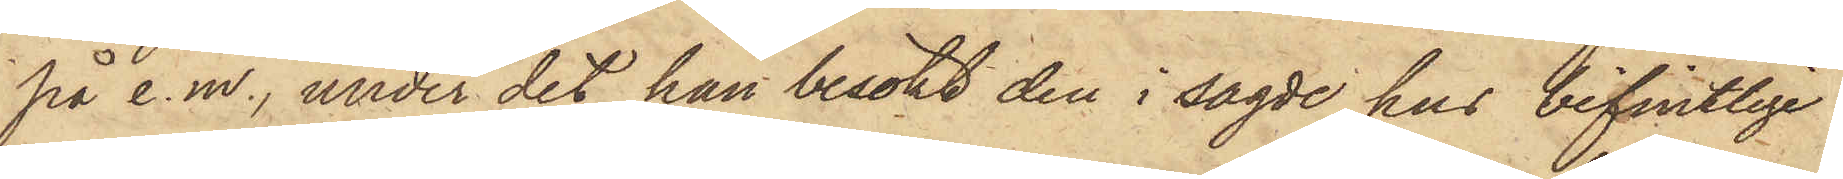på e.m., under det han besökt den i sagde hus befintlige
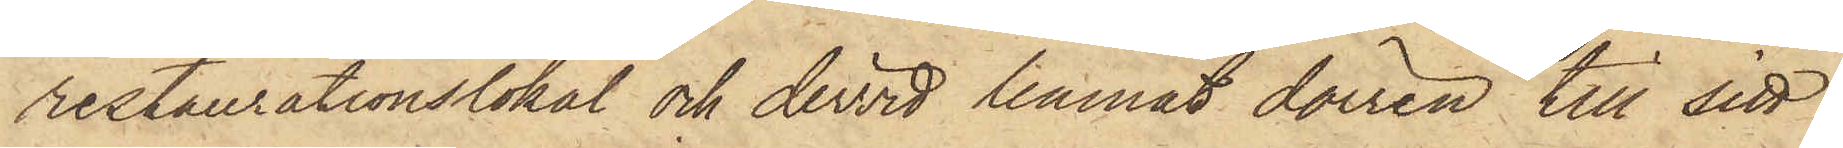restaurationslokal och dervid lemnat dörren till sitt
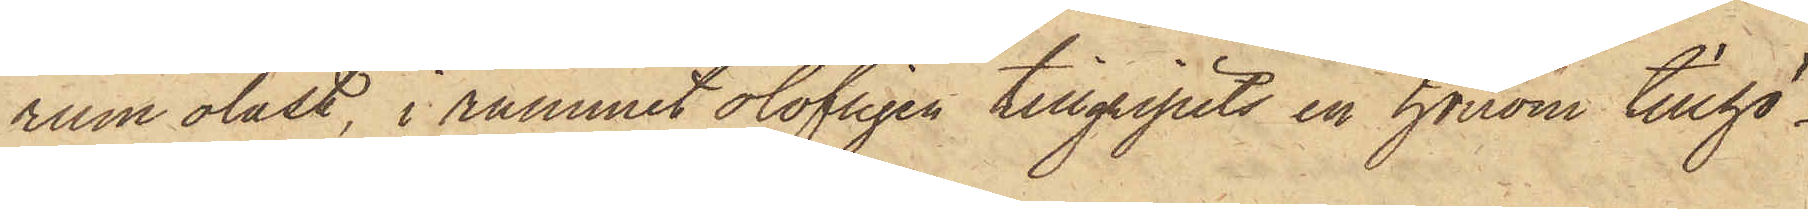rum olåst, i rummet olofligen tillgripits en honom tillhö¬
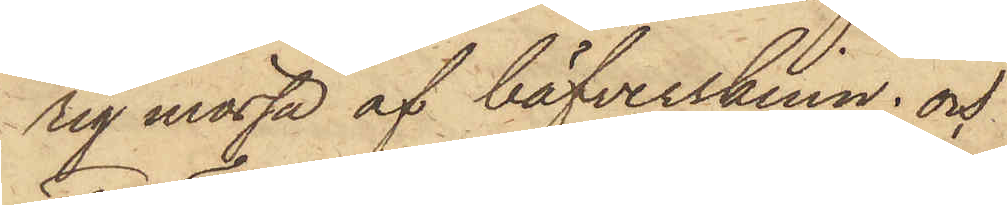sig mössa af bäfverskinn; och
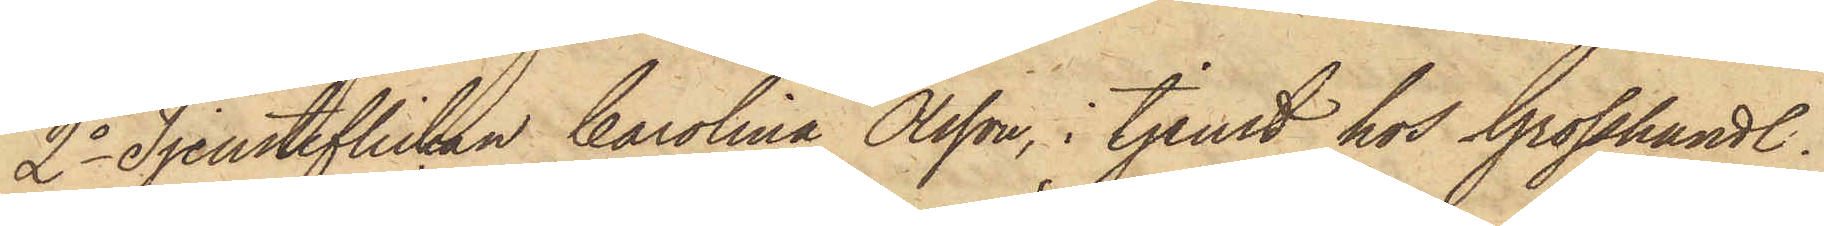2o Tjensteflickan Carolina Olsson, i tjenst hos Grosshandl.
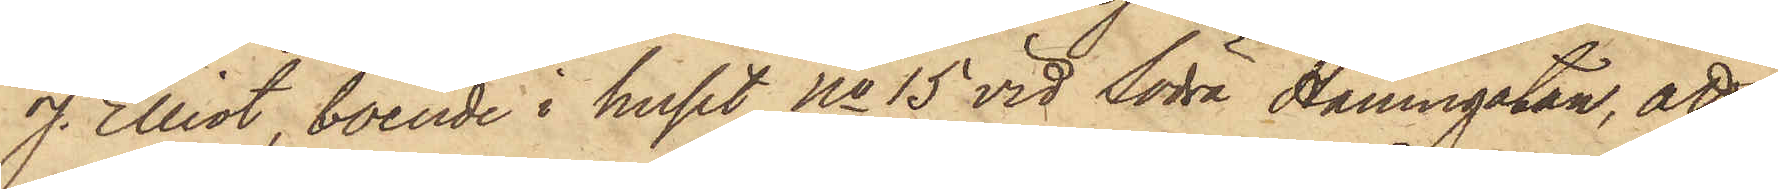J. Elliot, boende i huset No 15 vid Södra Hamngatan, att
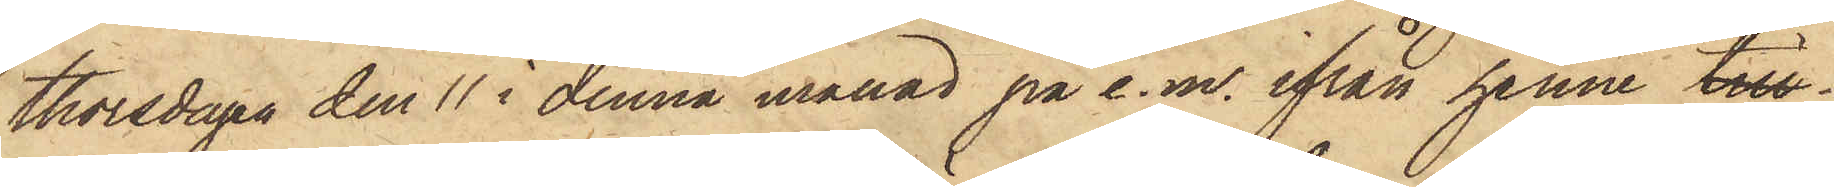Thorsdagen den 11 i denna månad på e.m. ifrån henne till¬
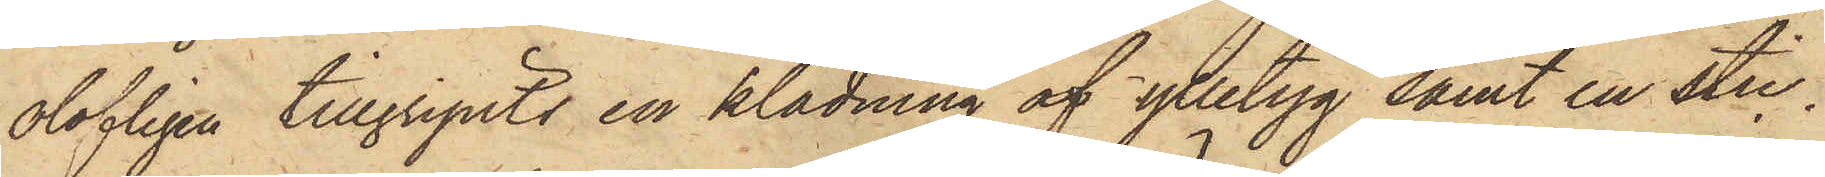olofligen tillgripits en klädning af ylletyg samt en stic¬
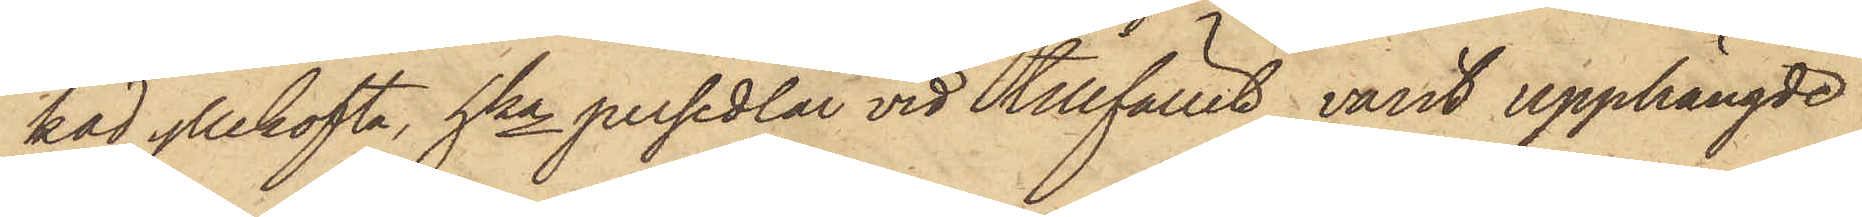kad yllekofta, hka persedlar vid tillfället varit upphängde
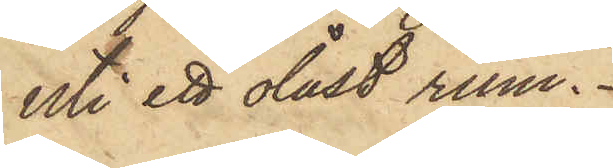uti ett olåst rum.
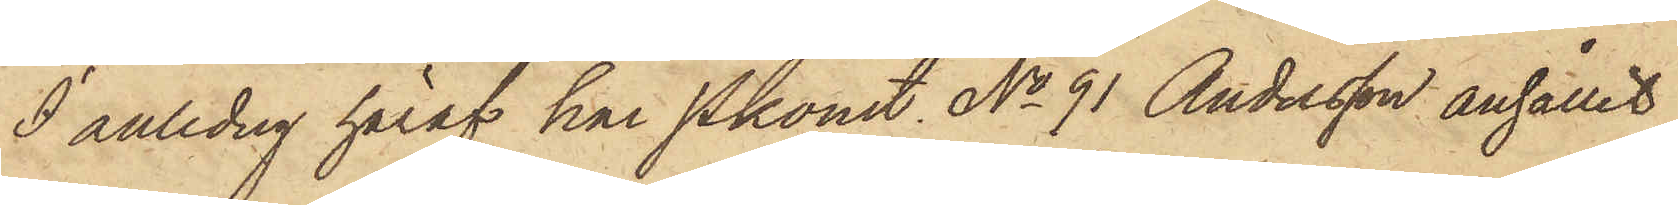I anledning häraf har Pkonst. No 91 Andersson anhållit
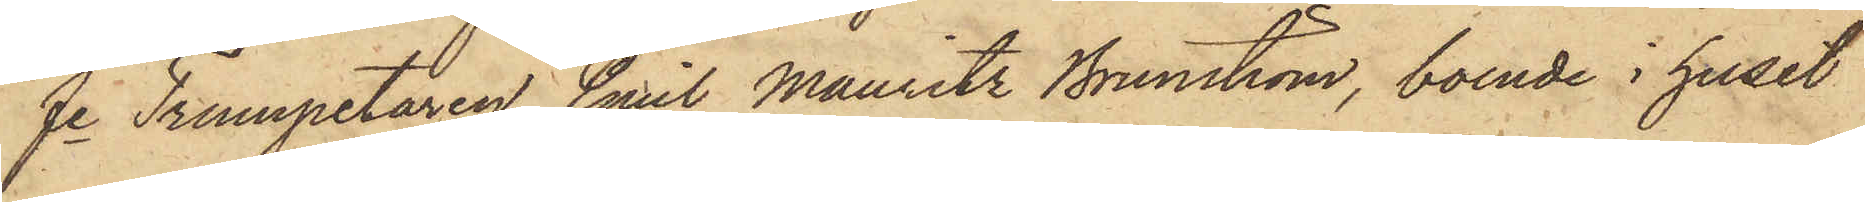fe Trumpetaren Emil Mauritz Brunström, boende i huset
